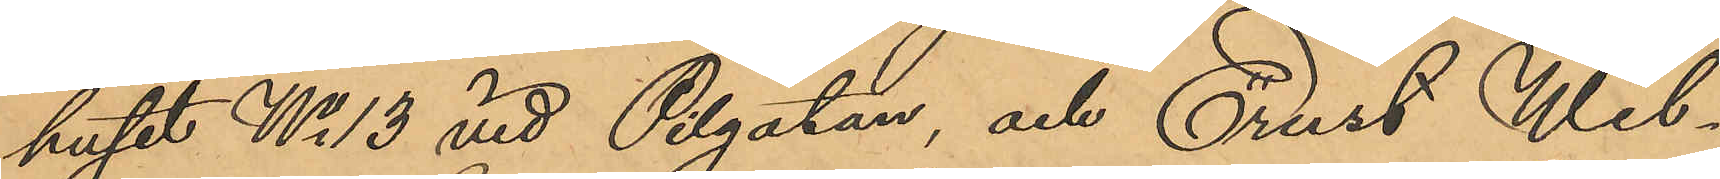huset No 13 vid Pilgatan, och Ernst Wil¬
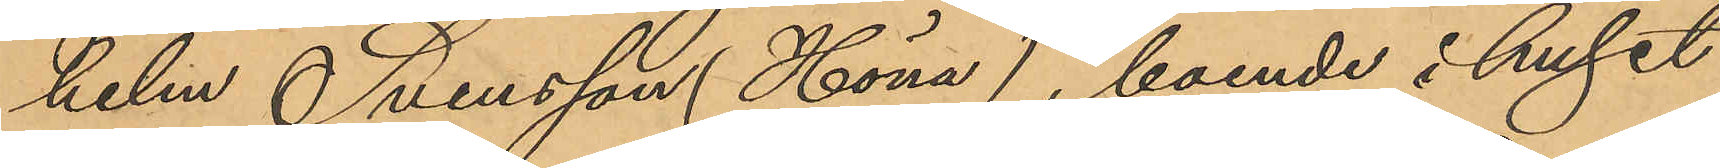helm Svensson (Höna), boende i huset
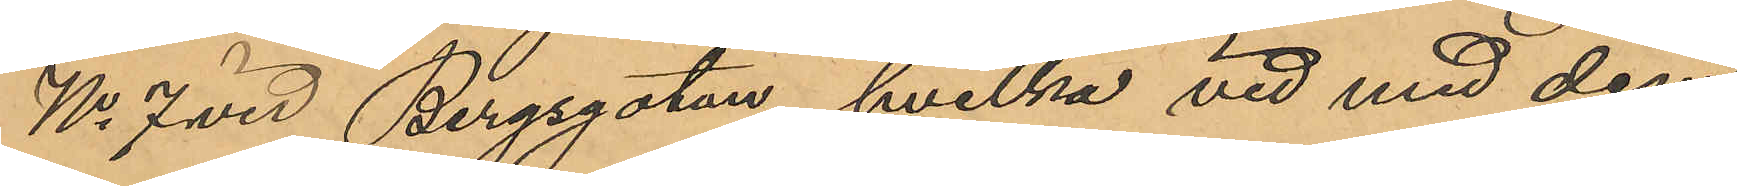No 7 vid Bergsgatan, hvilka vid med dem
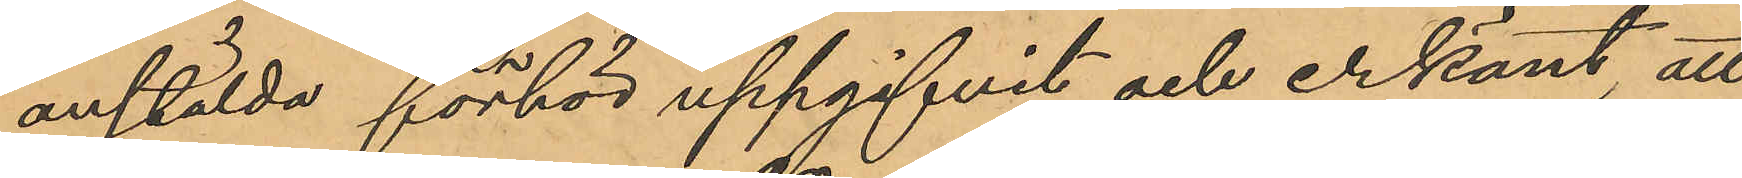anstälda förhör uppgifvit och erkänt, att
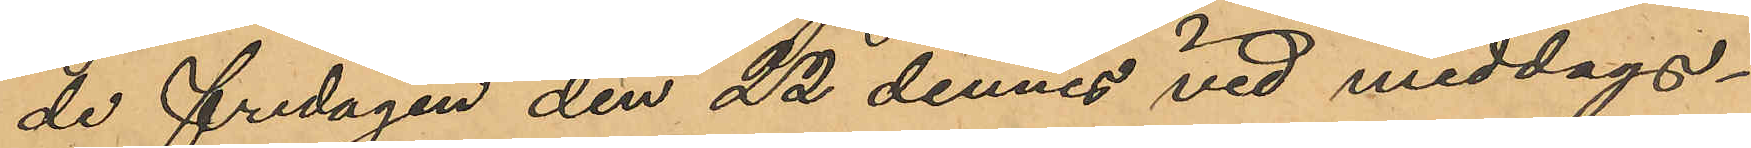de fredagen den 22 dennes vid middags¬
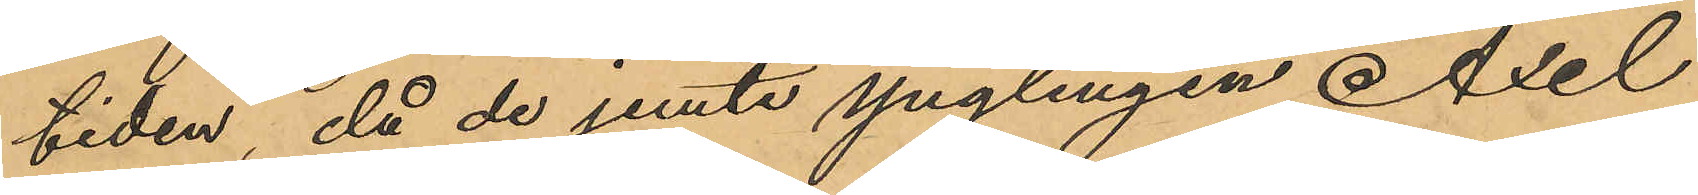tiden, då de jemte ynglingen Axel
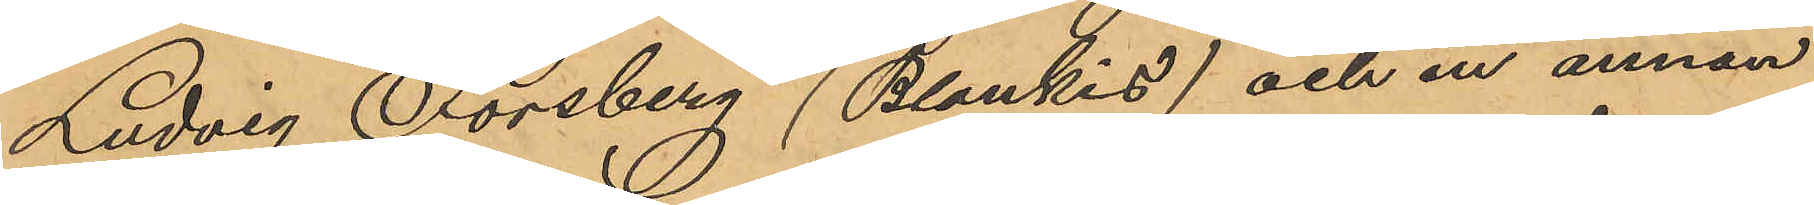Ludvig Forsberg (Blankis) och en annan
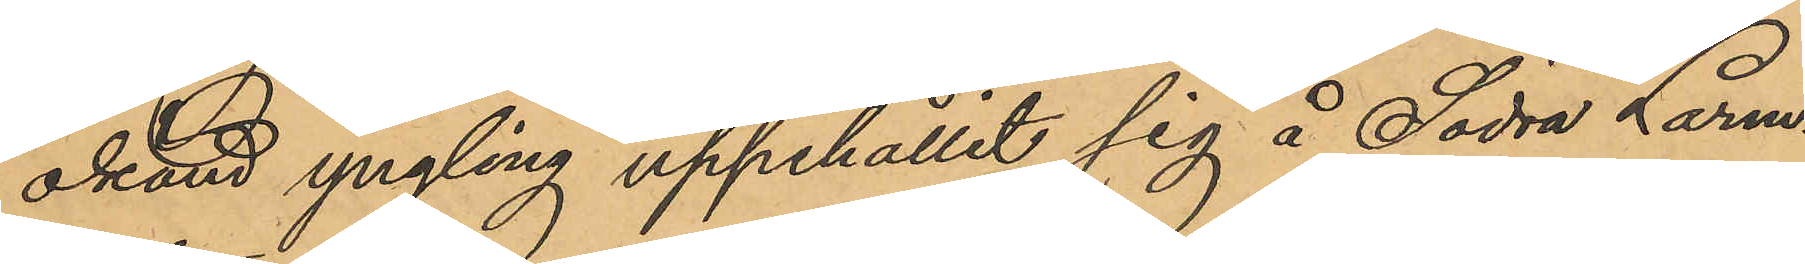okänd yngling uppehållit sig å Södra Larm¬
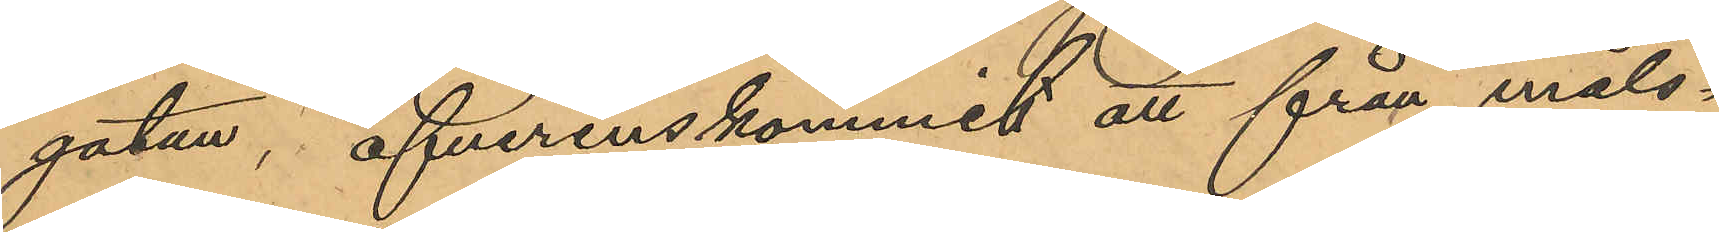gatan, öfverenskommit att från måls¬
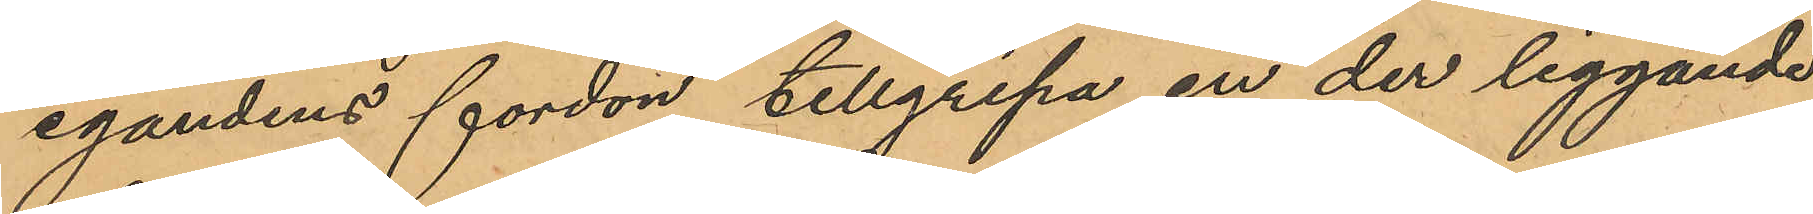egandens fordon tillgripa en der liggande
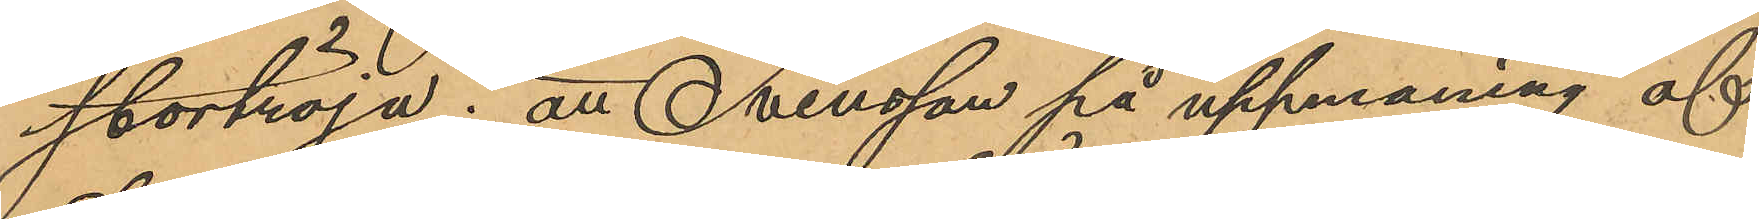stortröja; att Svensson på uppmaning af
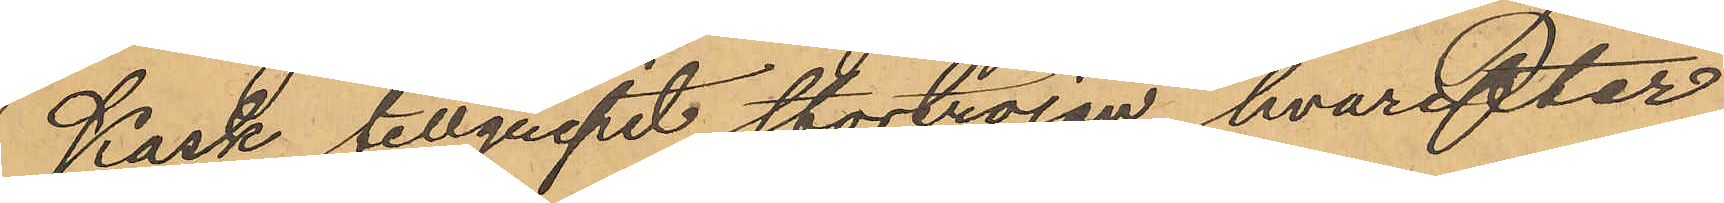Kask tillgripit stortröjan, hvarefter
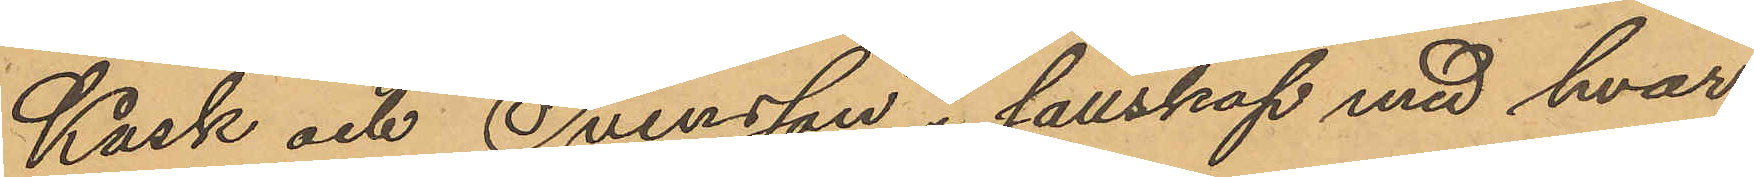Kask och Svensson i sällskap med hvar¬
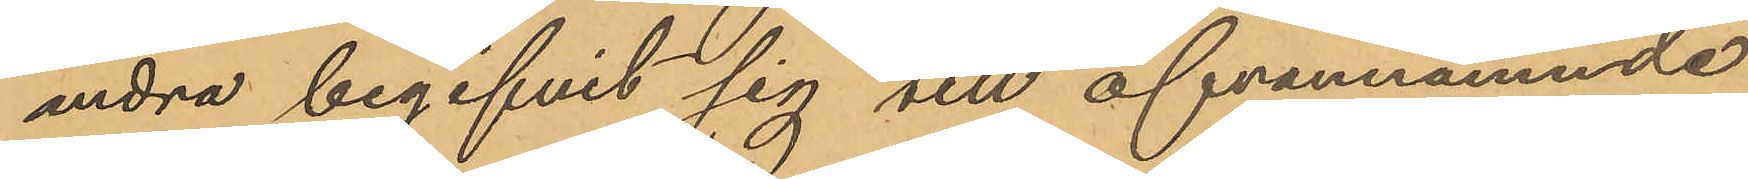andra begifvit sig till ofvannämnde
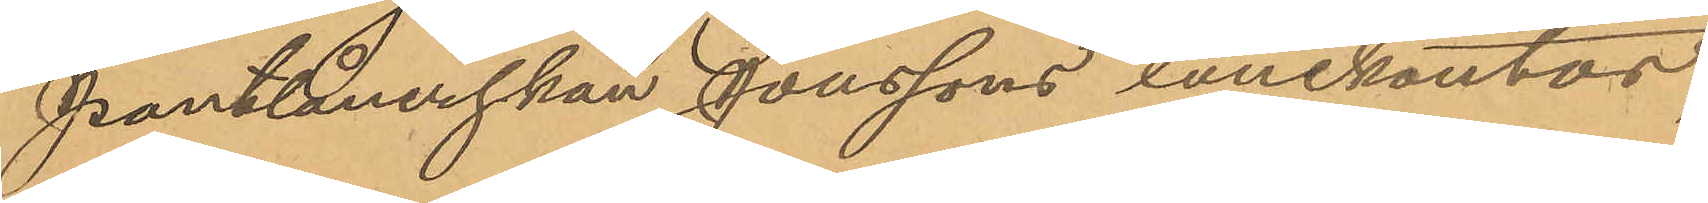Pantlånerskan Jonssons lånekontor,
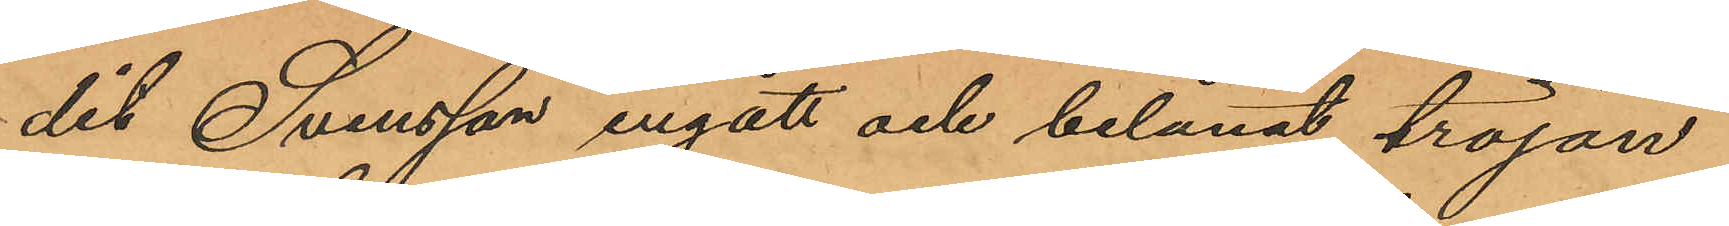dit Svensson ingått och belånat tröjan
